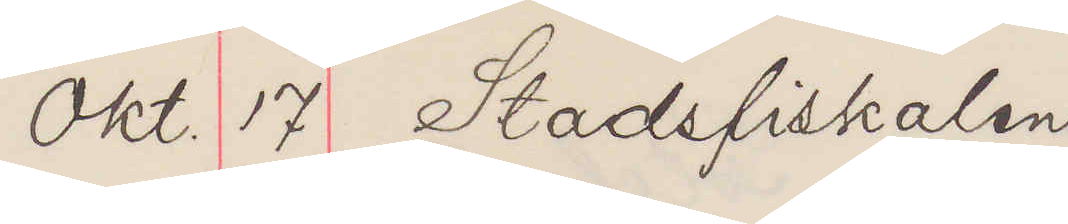Okt. 17 Stadsfiskalen
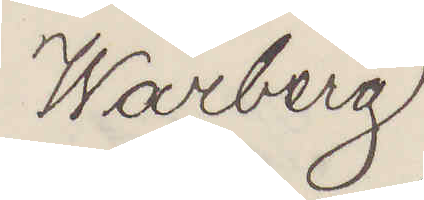Warberg
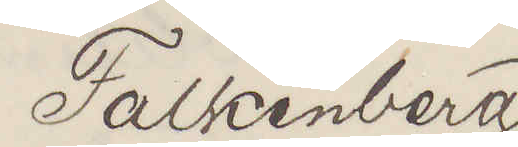Falkenberg
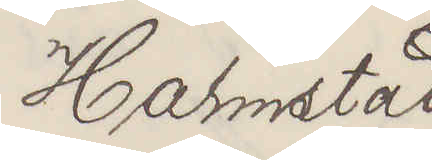Halmstad
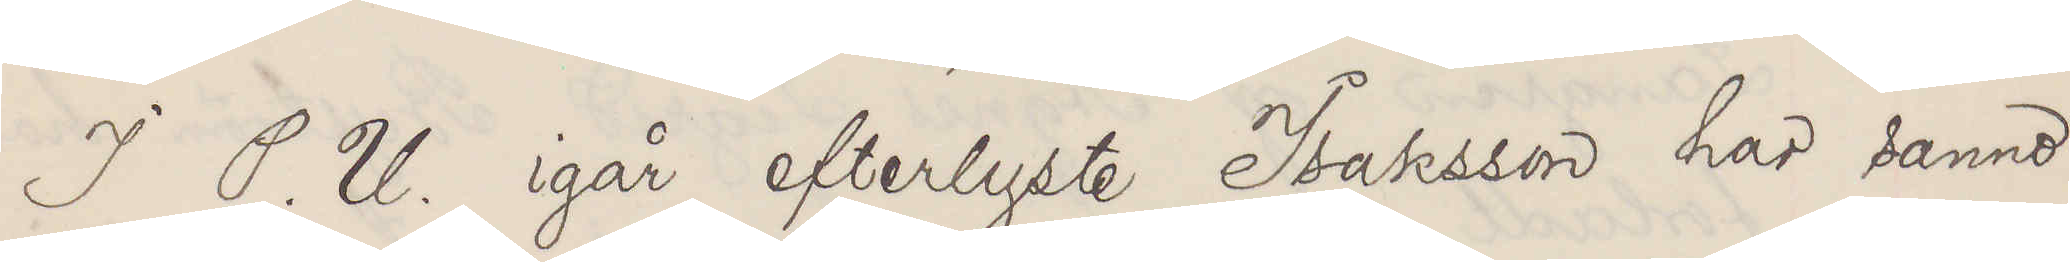I P. U. igår efterlyste Isaksson har sanno¬
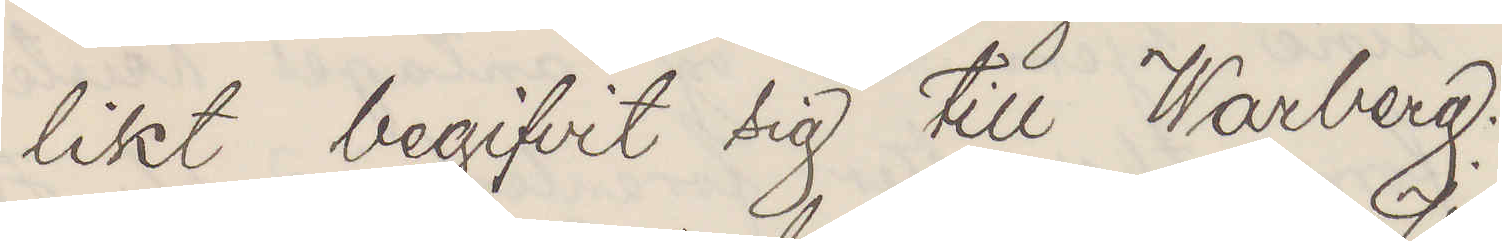likt begifvit sig till Warberg.
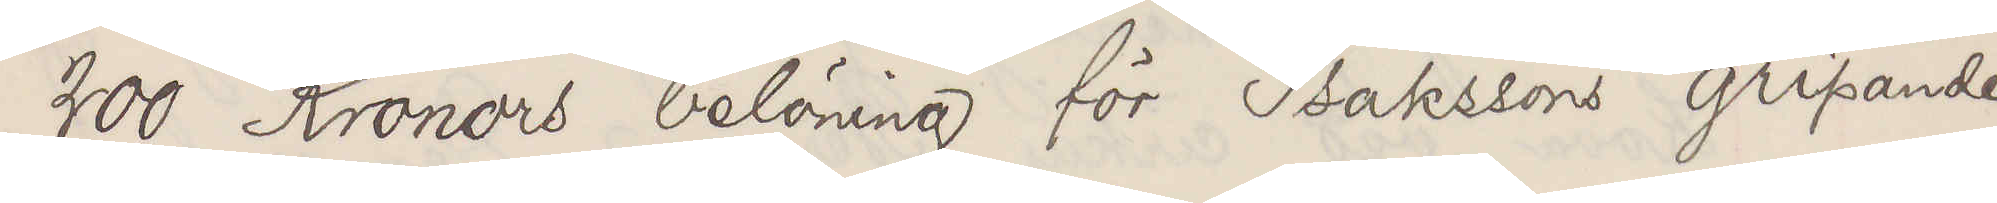200 Kronors belöning för Isakssons gripande
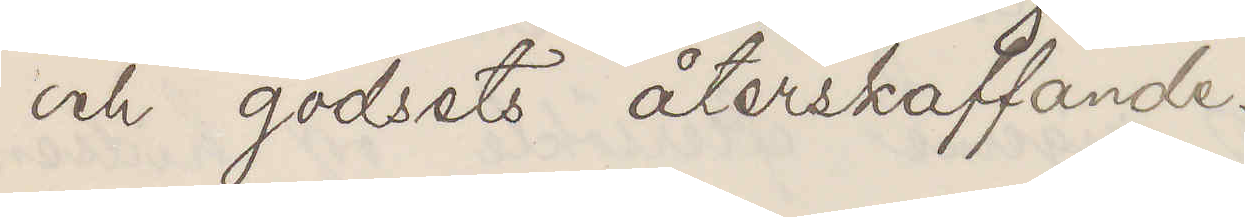och godset återskaffande.
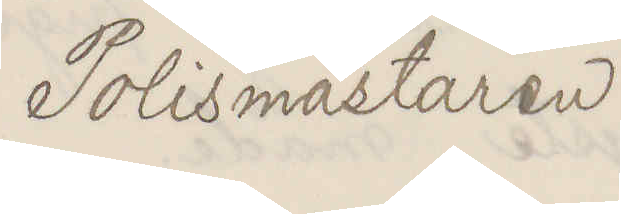Polismästaren
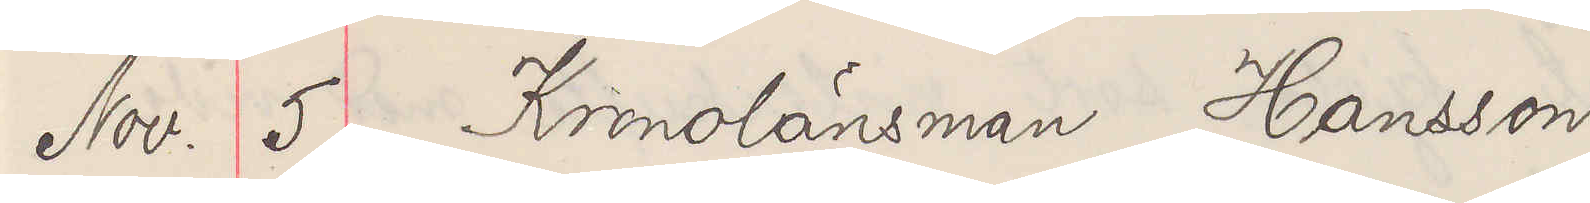Nov. 5 Kronolänsman Hansson
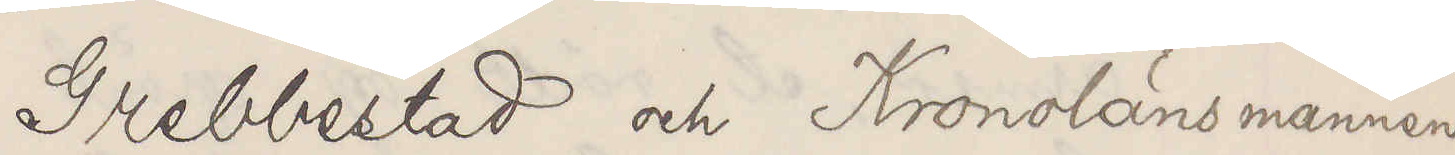Grebbestad och Kronolänsmannen
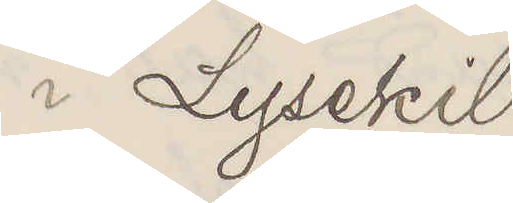i Lysekil
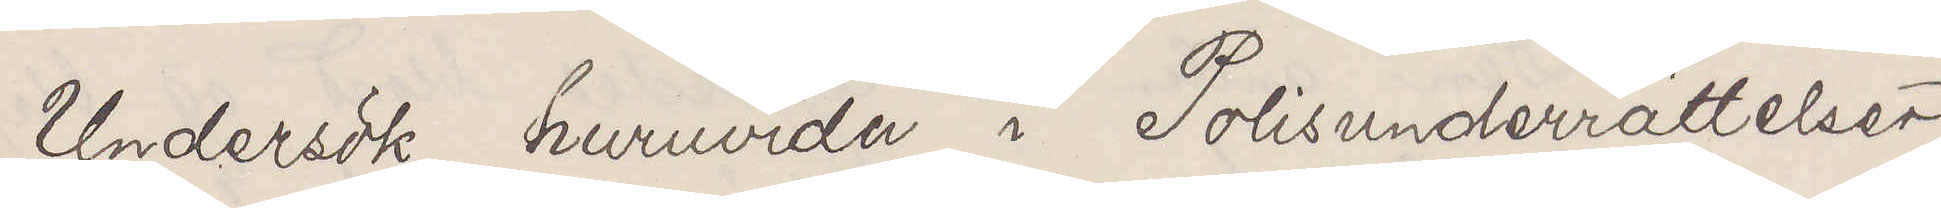Undersök huruvida i Polisunderrättelser
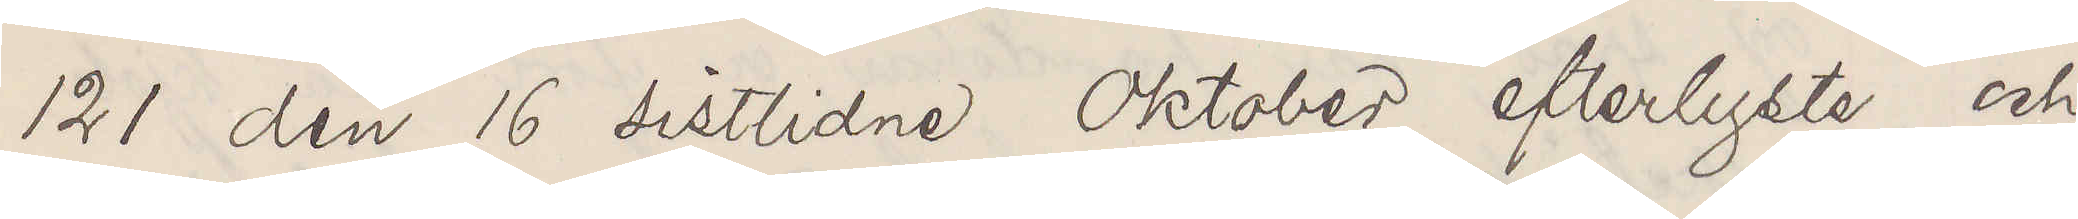121 den 16 sistlidne Oktober efterlyste och
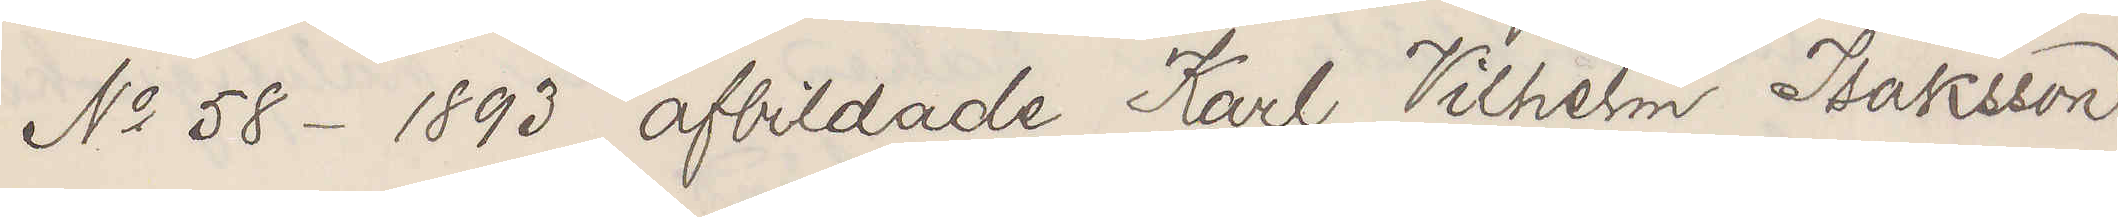No 58. 1893 afbildade Karl Vilhelm Isaksson
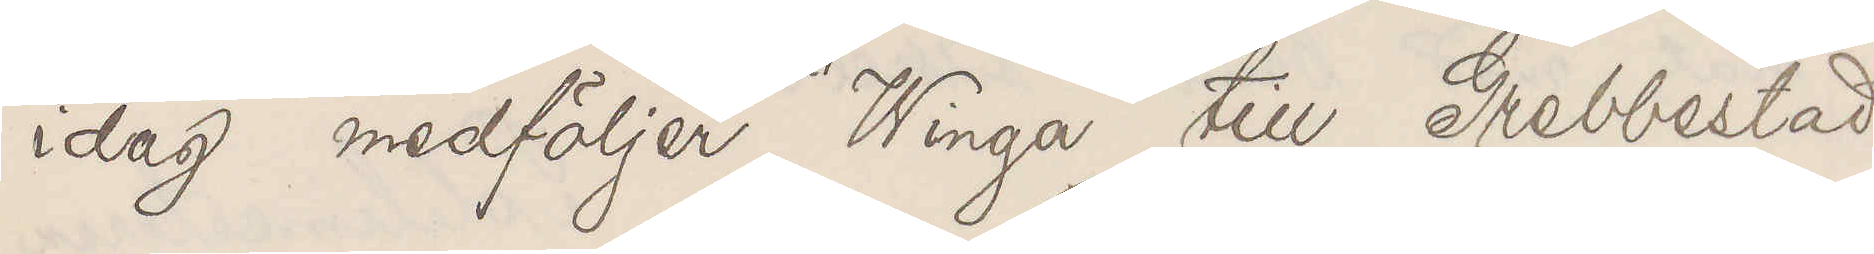idag medföljer "Winga" till Grebbestad
